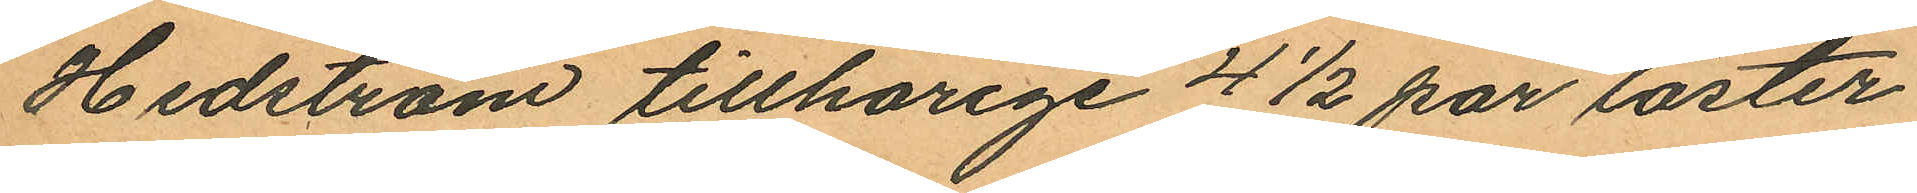Hedström tillhörige 4½ par läster
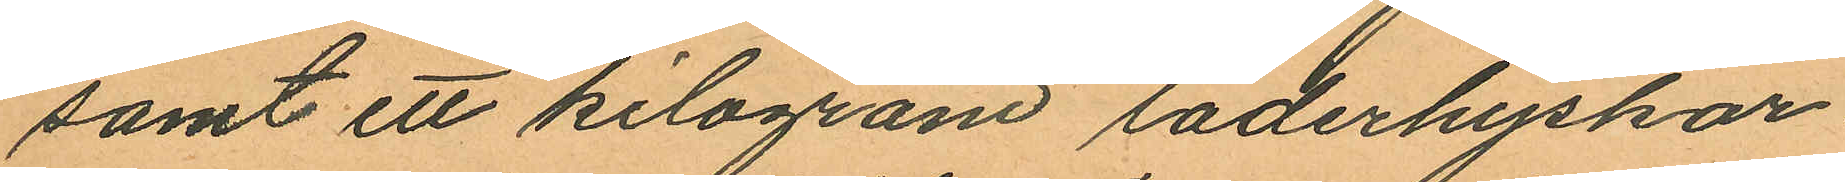samt ett kilogram läderhyskor.
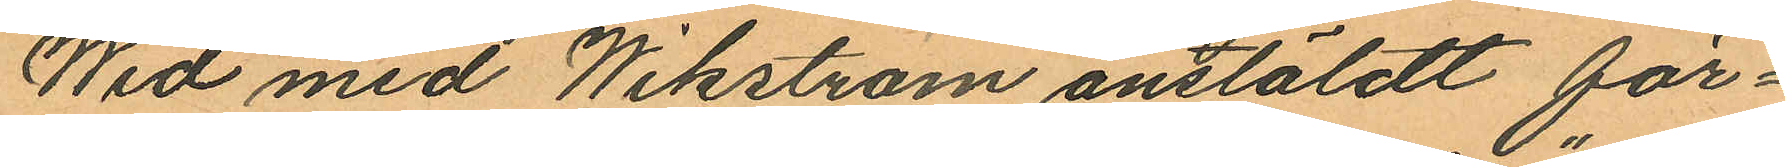Wid med Wikström anstäldt för¬
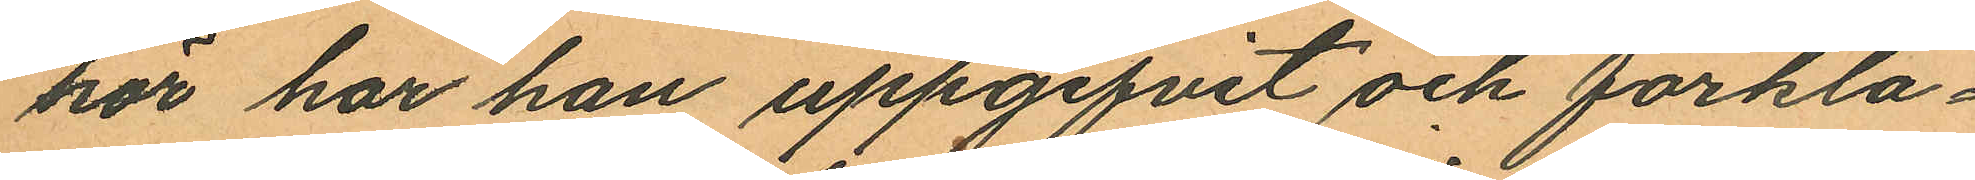hör har han uppgifvit och förkla¬
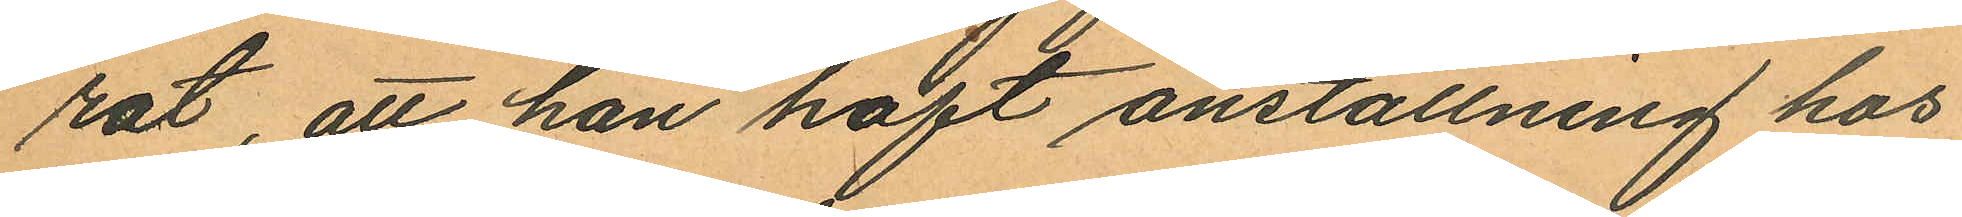rat, att han haft anställning hos
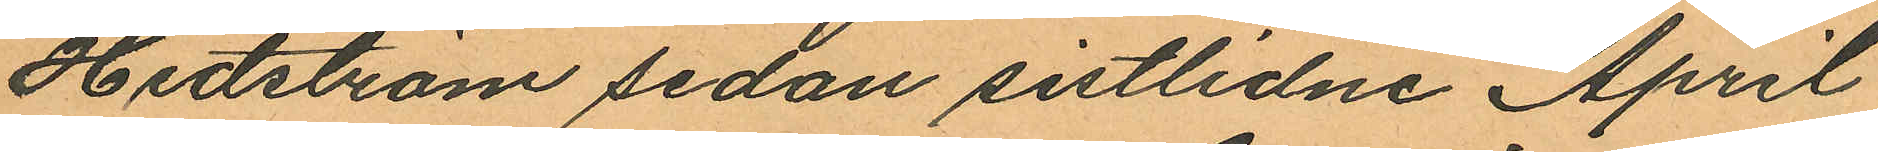Hedström sedan sistlidne April
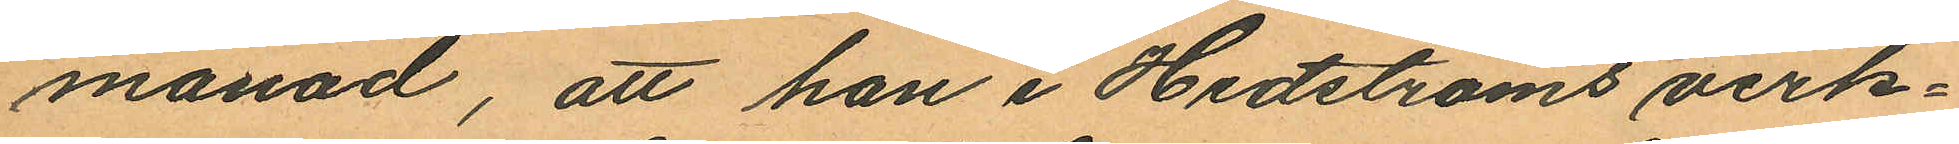månad, att han i Hedströms verk¬
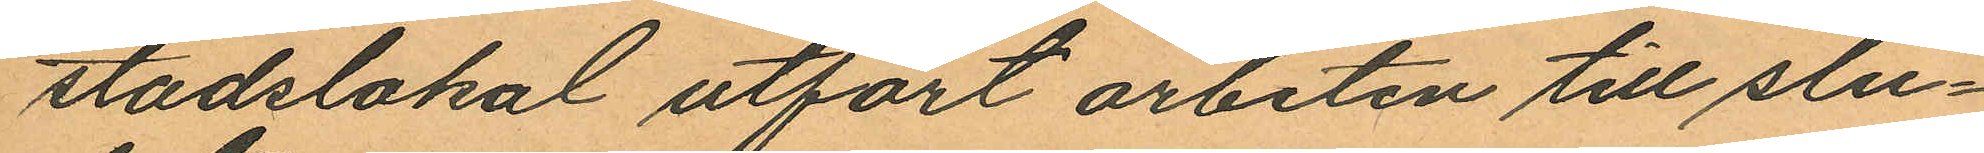stadslokal utfört arbeten till slu¬
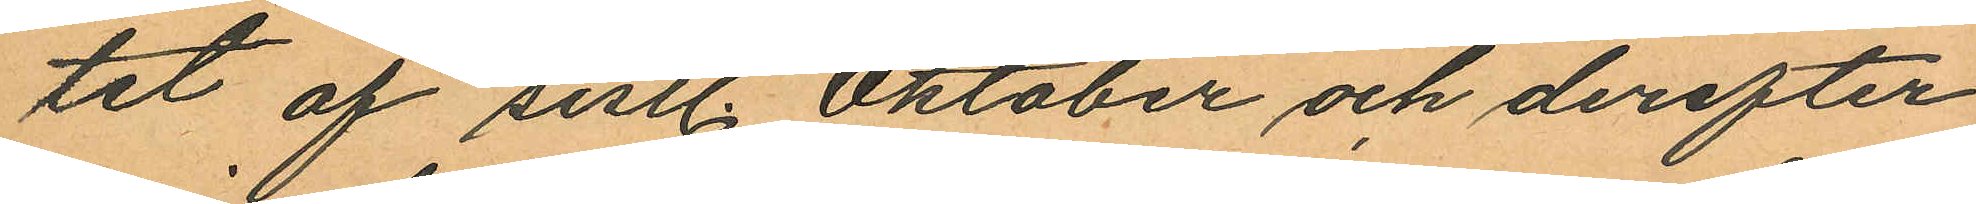tet af sistl. Oktober och derefter
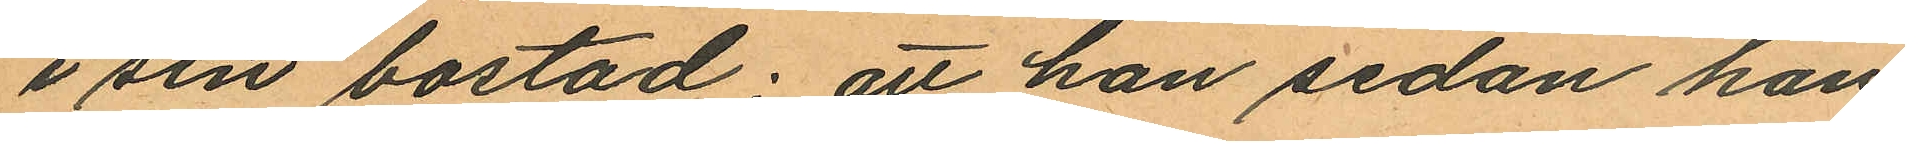i sin bostad; att han sedan han
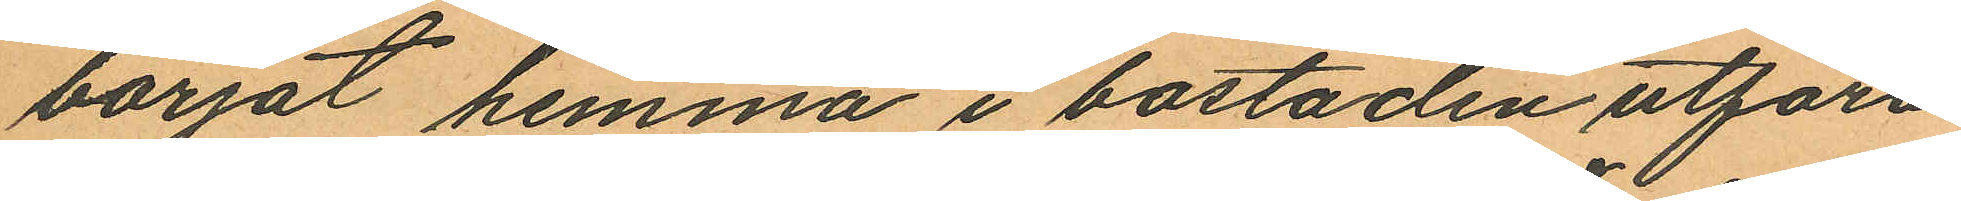börjat hemma i bostaden utföra
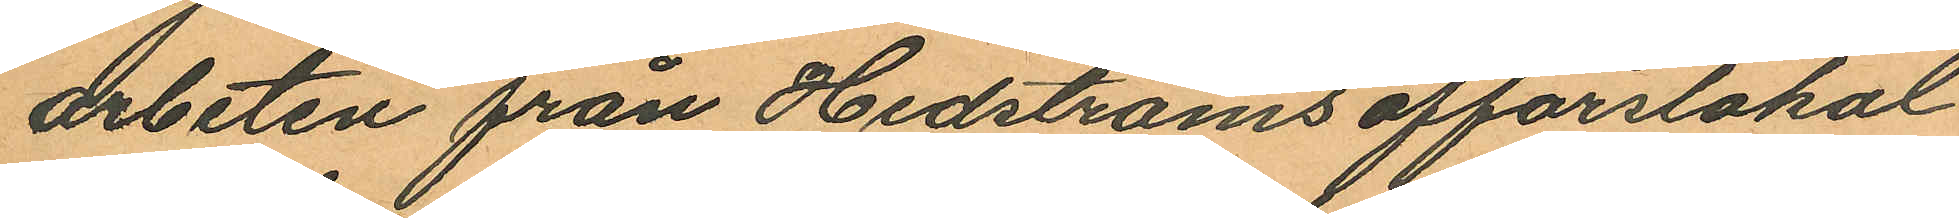arbeten från Hedströms affärslokal
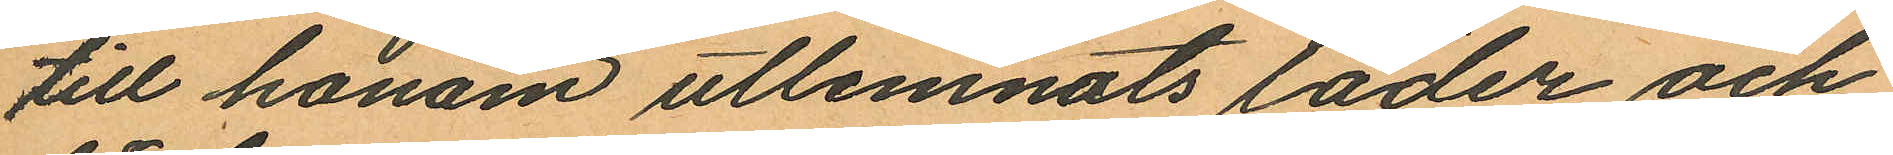till honom utlemnats läder och
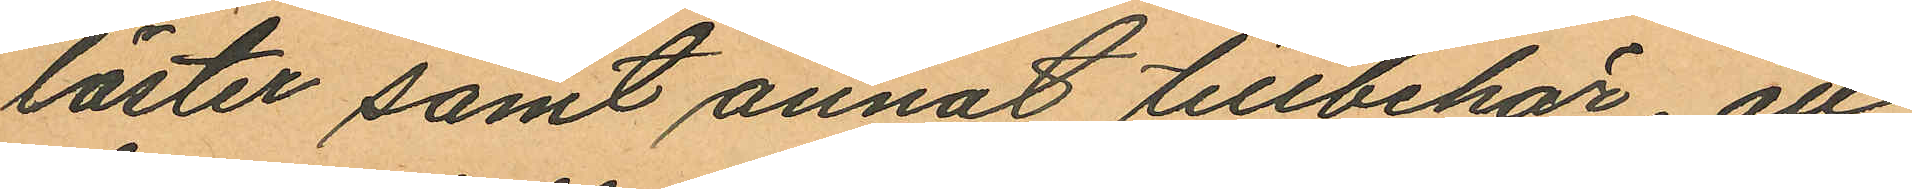läster samt annat tillbehör att
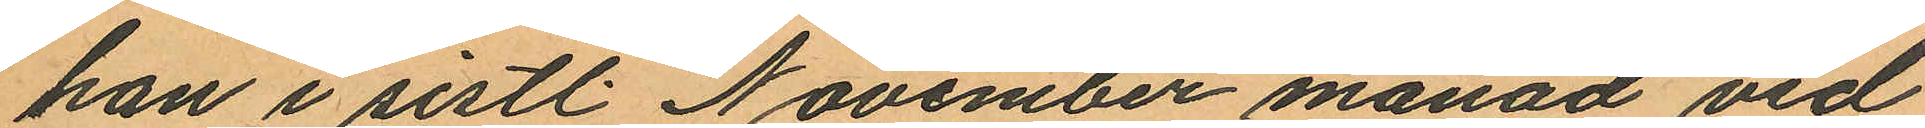han i sistl. November månad vid
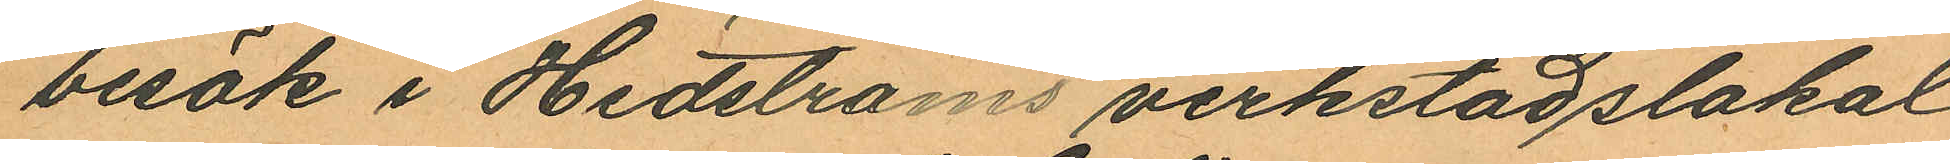besök i Hedströms verkstadslokal
